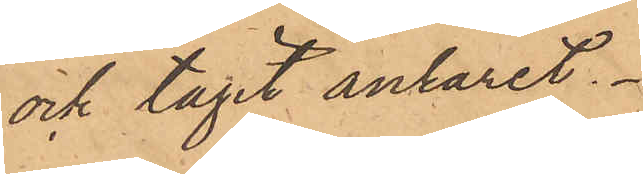och tagit ankaret.
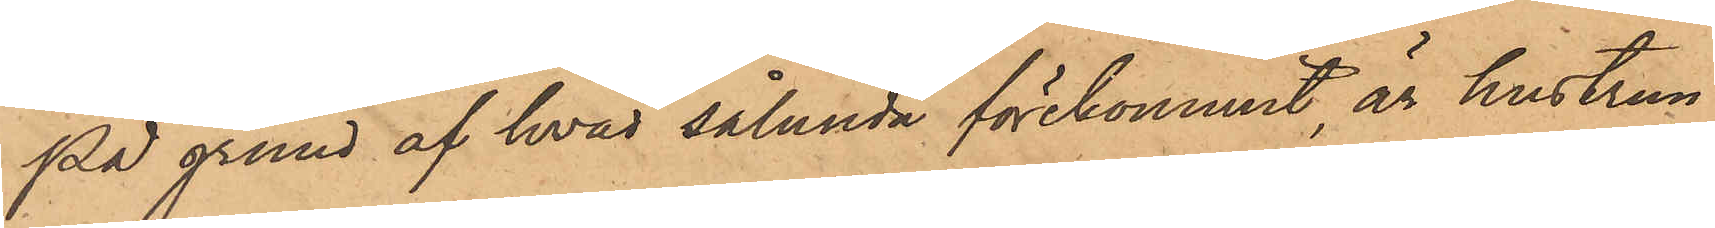På grund af hvad sålunda förekommit, är hustrun
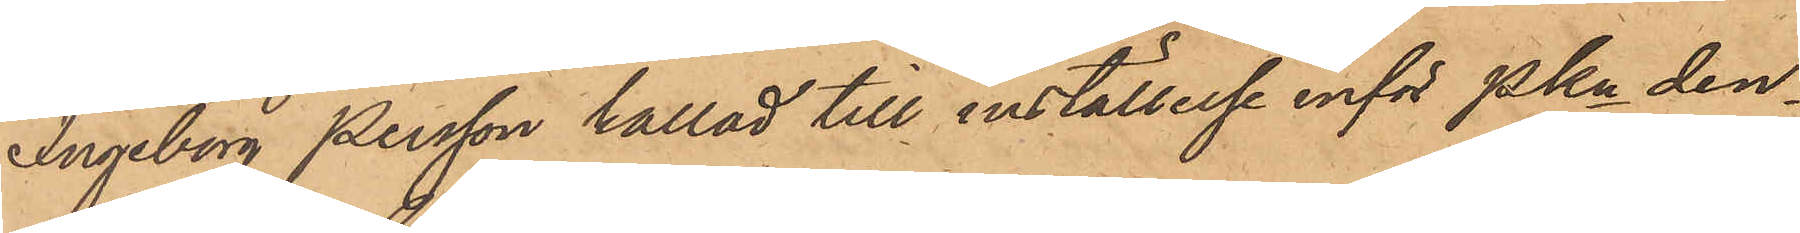Ingeborg Persson kallad till inställelse inför Pkn den¬
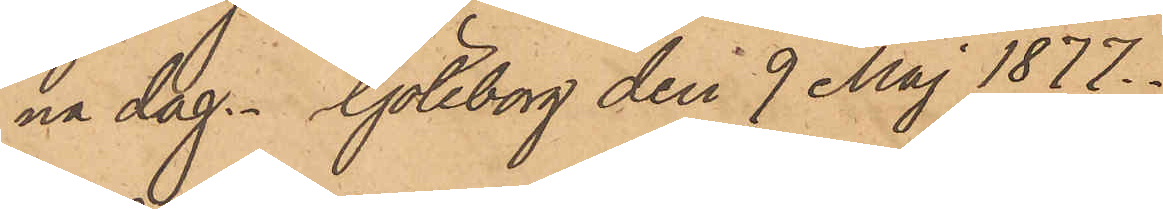na dag. Göteborg den 9 Maj 1877.
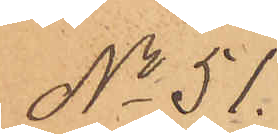No 51.
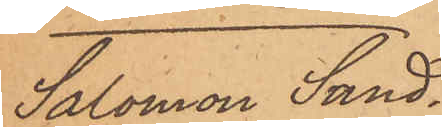Salomon Sand¬
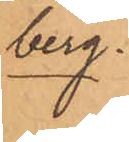berg.
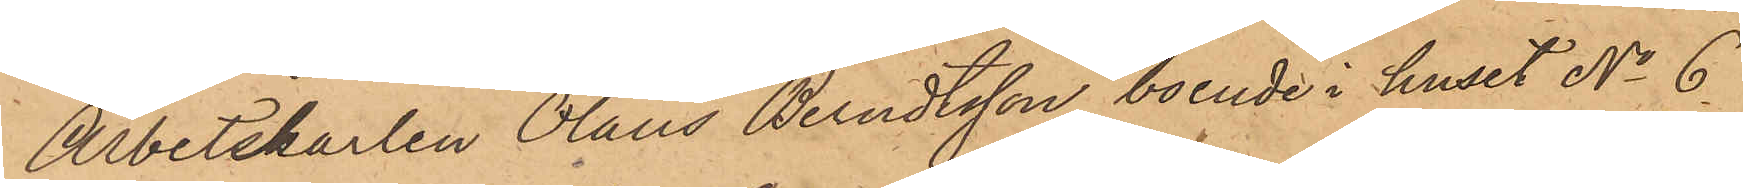Arbetskarlen Olaus Berndtsson, boende i huset No 6
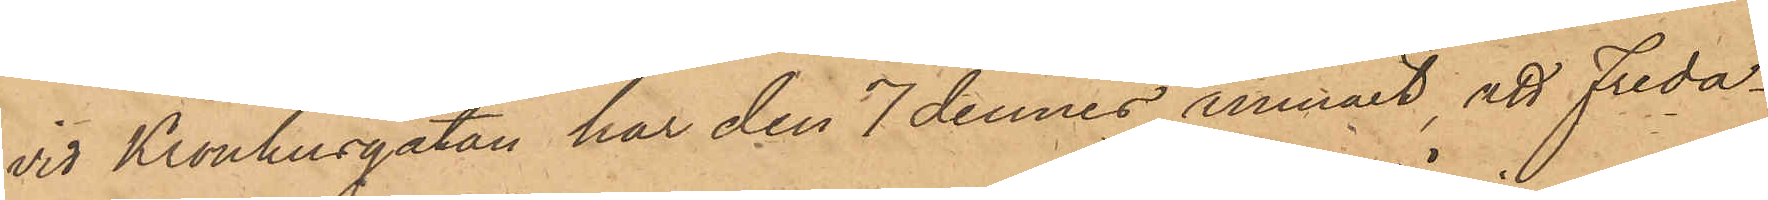vid Kronhusgatan har den 7 dennes anmält, att Freda¬
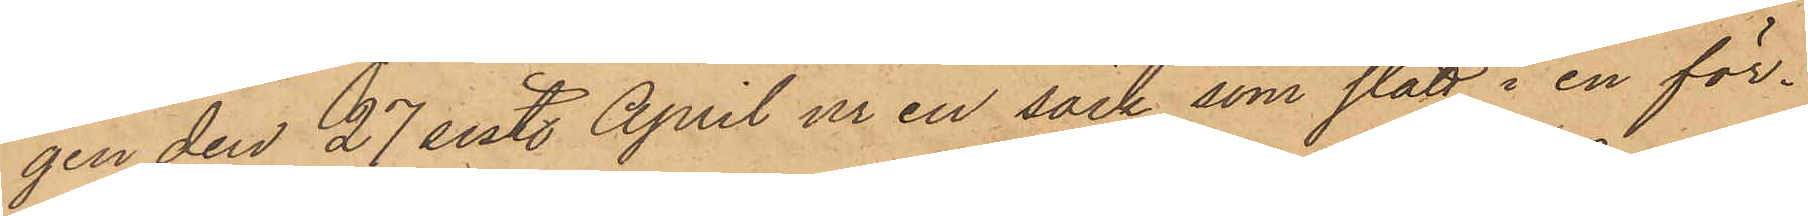gen den 27 sist. April ur en säck, som stått i en för¬
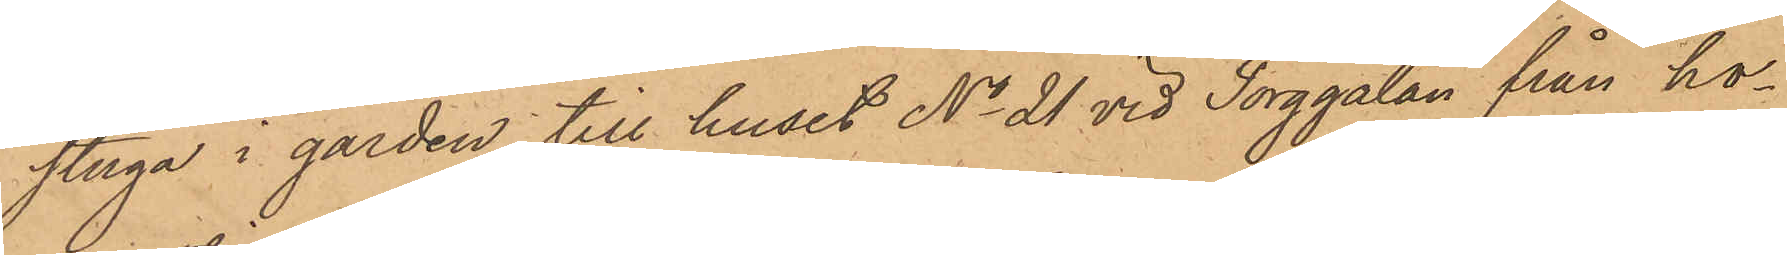stuga i gården till huset No 21 vid Torggatan från ho¬
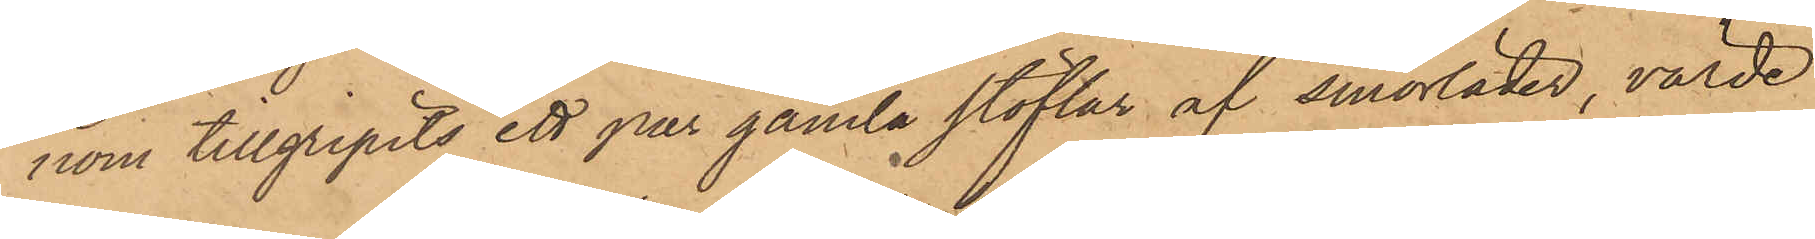nom tillgripits ett par gamla stöflar af smorläder, värde
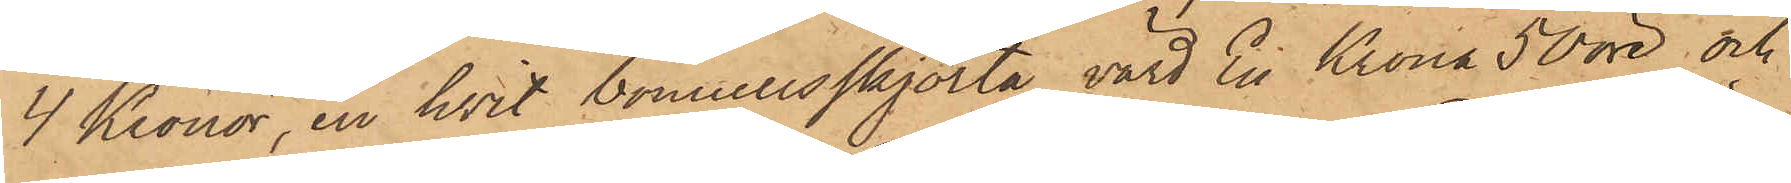4 Kronor, en hvit bomullsskjorta, värd En Krona 50 öre; och
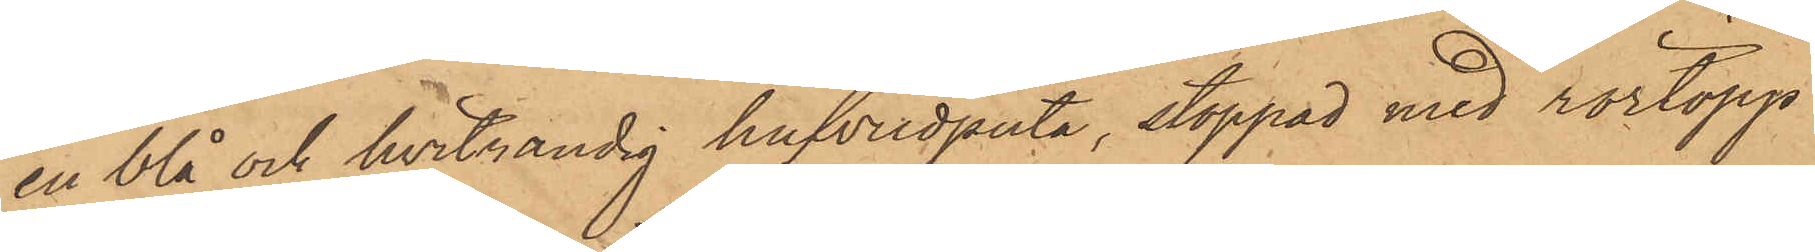en blå och hvitrandig hufvudputa, stoppad med rörtopp
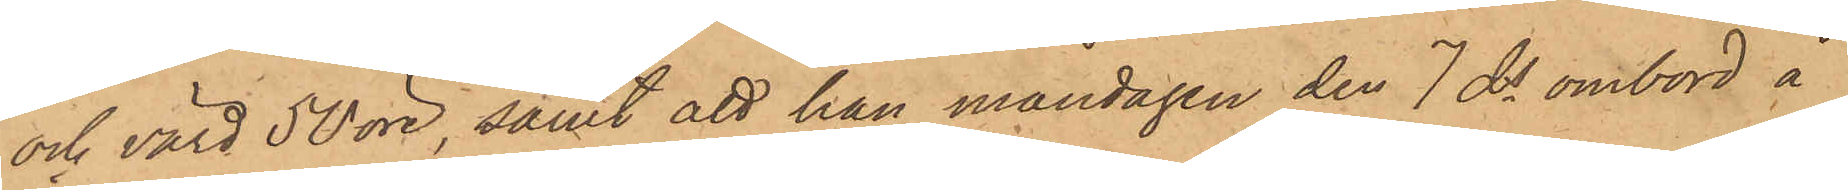och värd 50 öre, samt att han måndagen den 7 ds ombord å
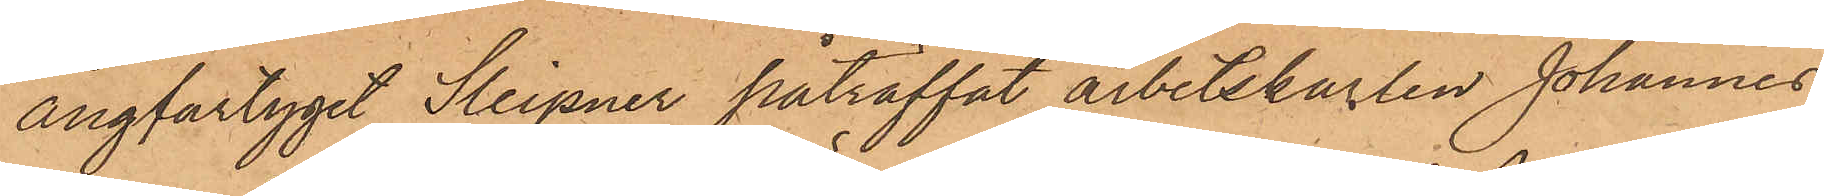ångfartyget Sleipner påträffat arbetskarlen Johannes
